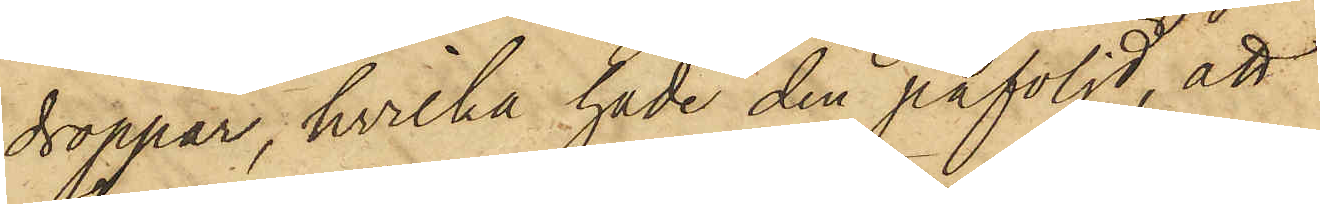droppar, hvilka hade den påföljd, att
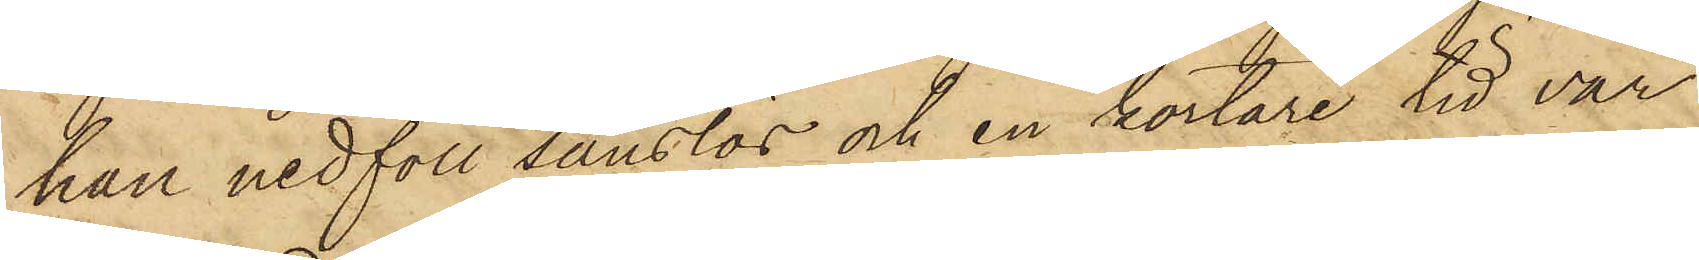han nedföll sanslös och en kortare tid var
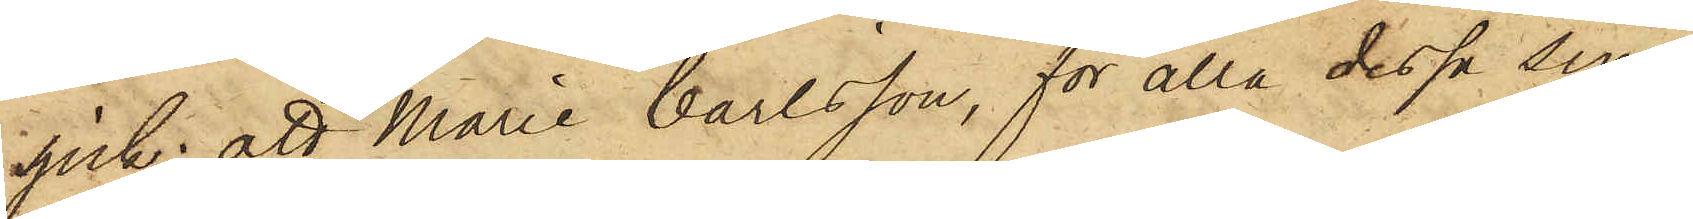sjuk; att Marie Carlsson, för alla dessa sina
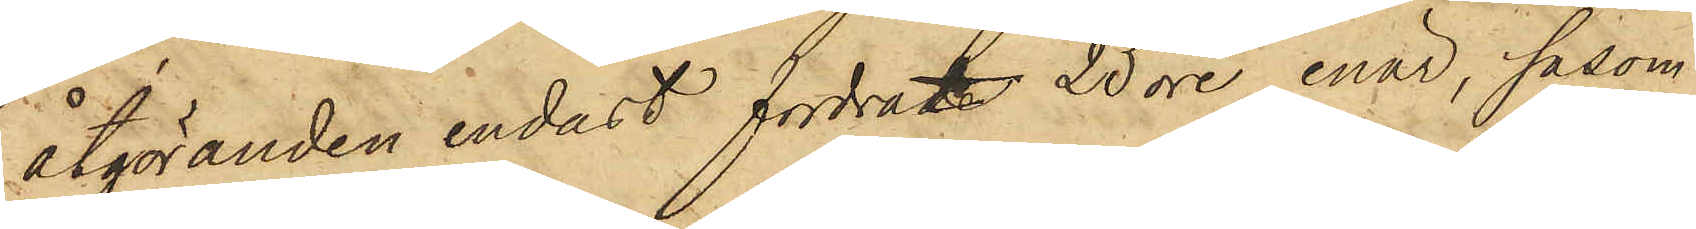åtgöranden endast fordrat 25 öre, enär, såsom
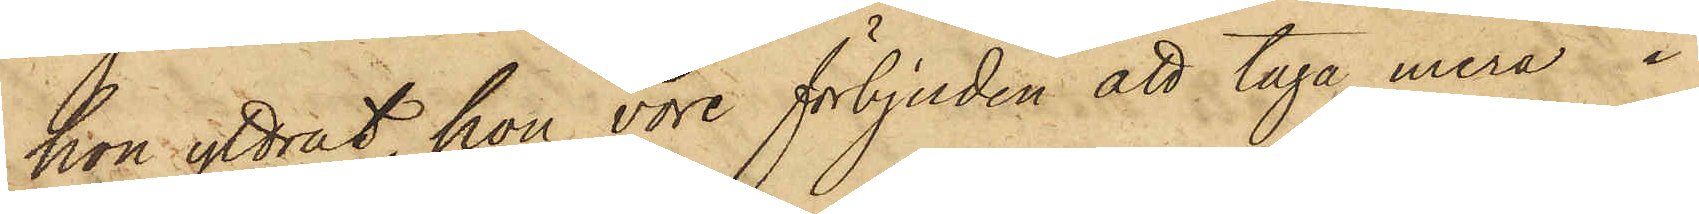hon yttrat, hon vore förbjuden att taga mera i
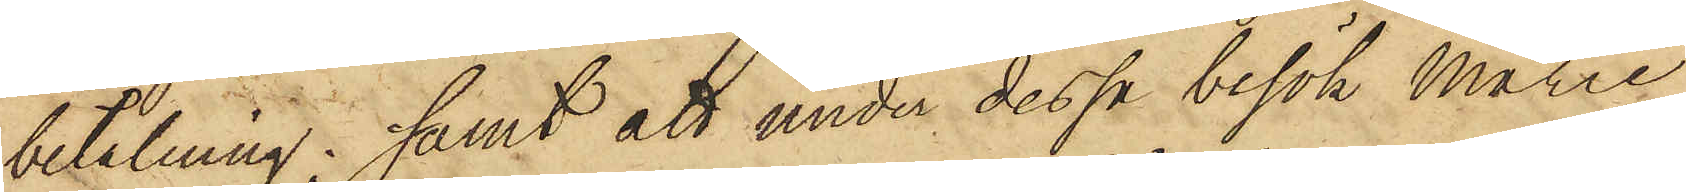betalning; samt att under dessa besök Marie
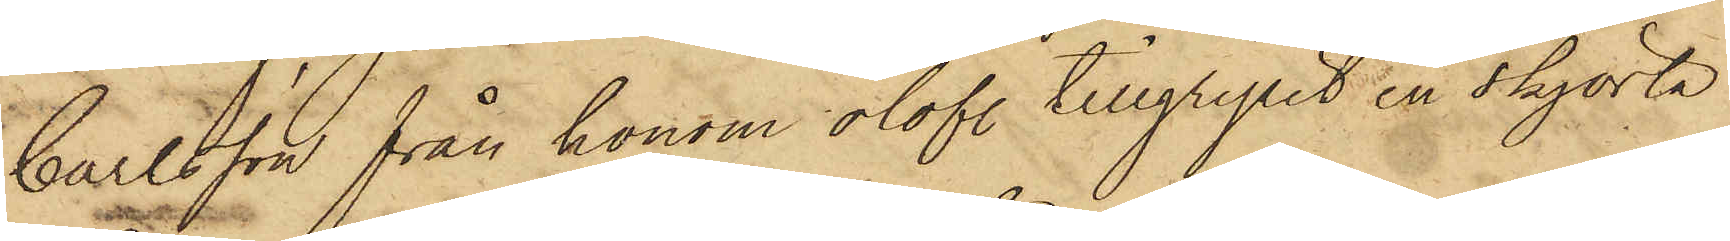Carlsson från honom olofl. tillgripit en skjorta
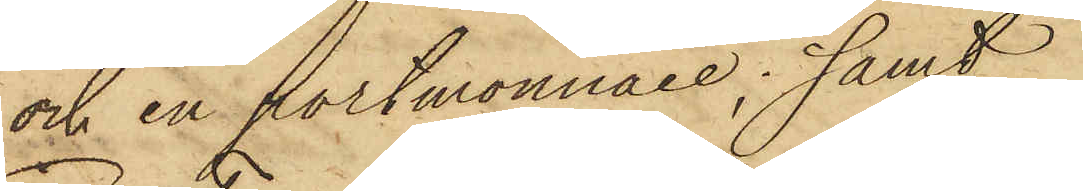och en portmonnaie; samt
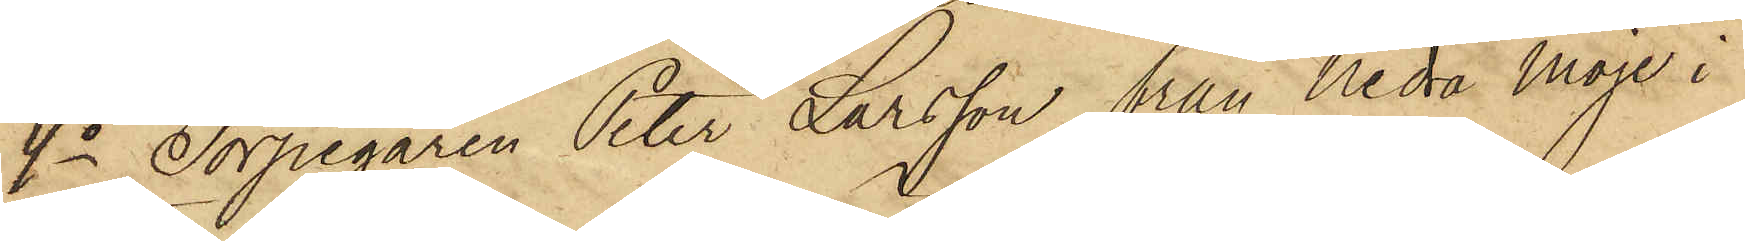4o Torpegaren Peter Larsson från Nedra Moje i
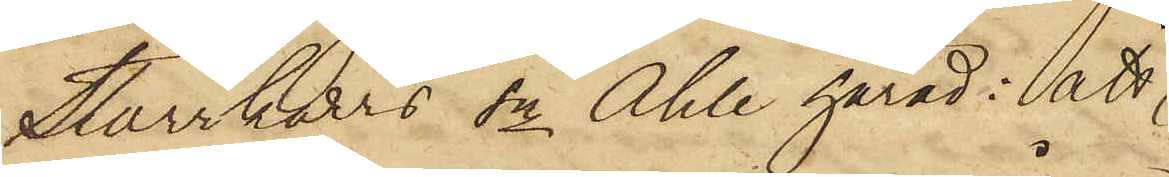Starrkärrs Sn Ahle härad; att
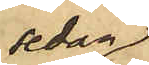sedan
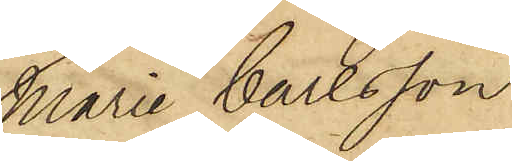Marie Carlsson
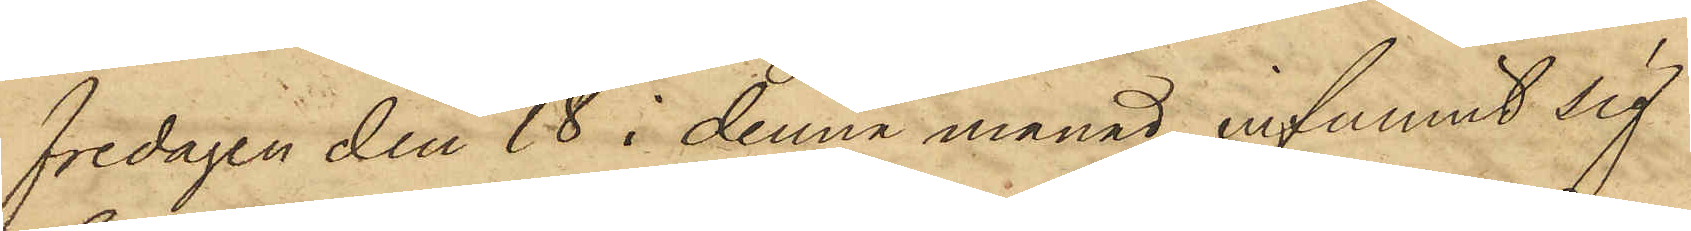fredagen den 18 i denna månad infunnit sig
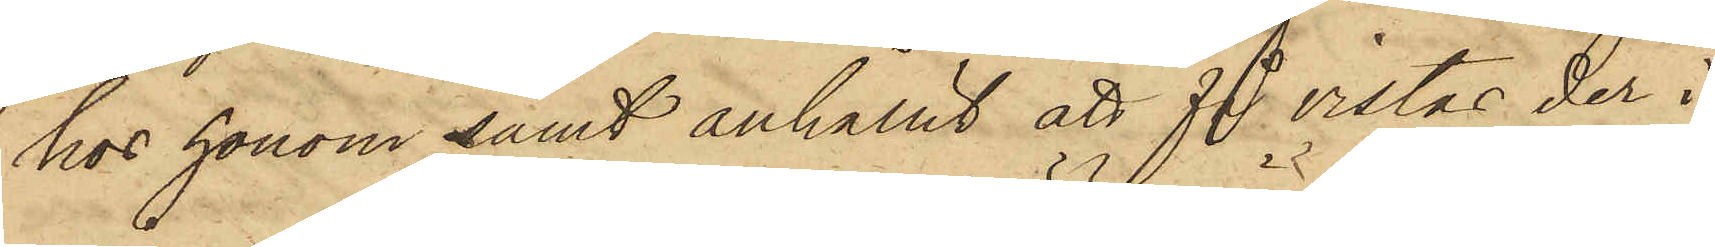hos honom samt anhållit att få vistas der i
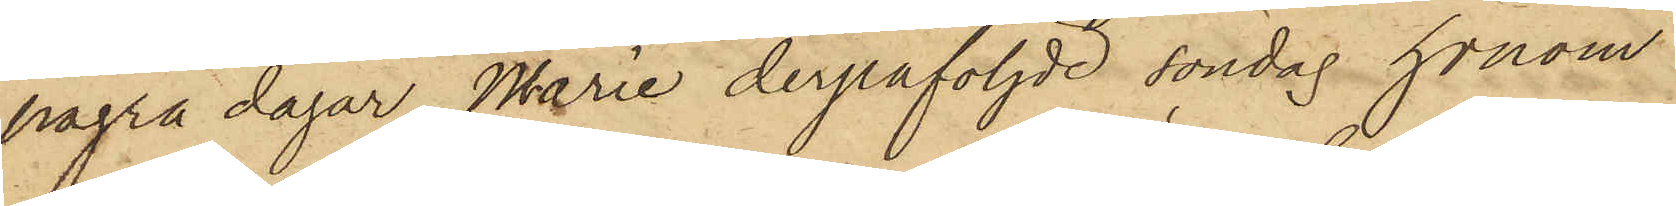några dagar, Marie derpåföljde söndag honom
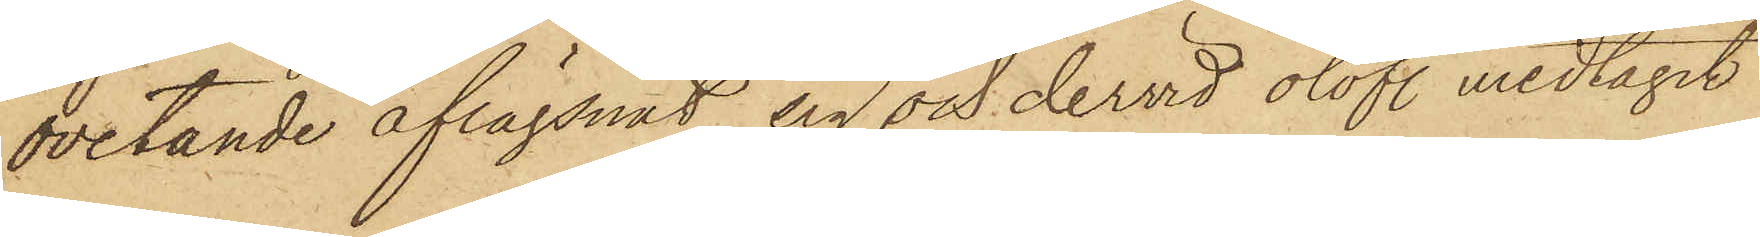ovetande aflägsnat sig och dervid olofl. medtagit
